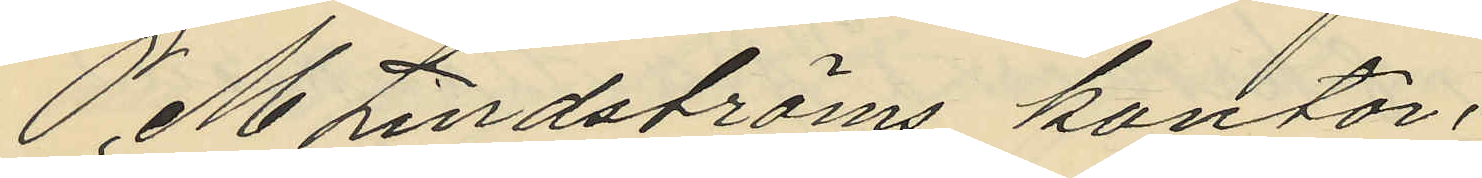P. M. Lindströms kontor;
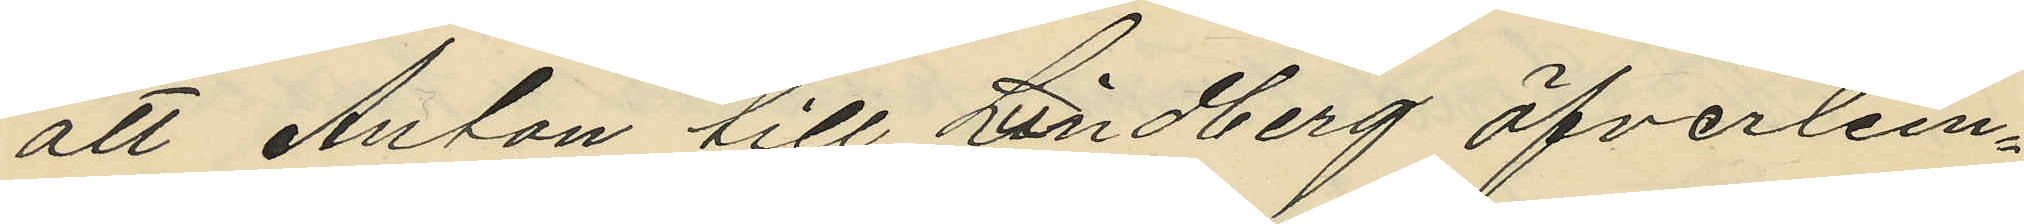att Anton till Lindberg öfverlem¬
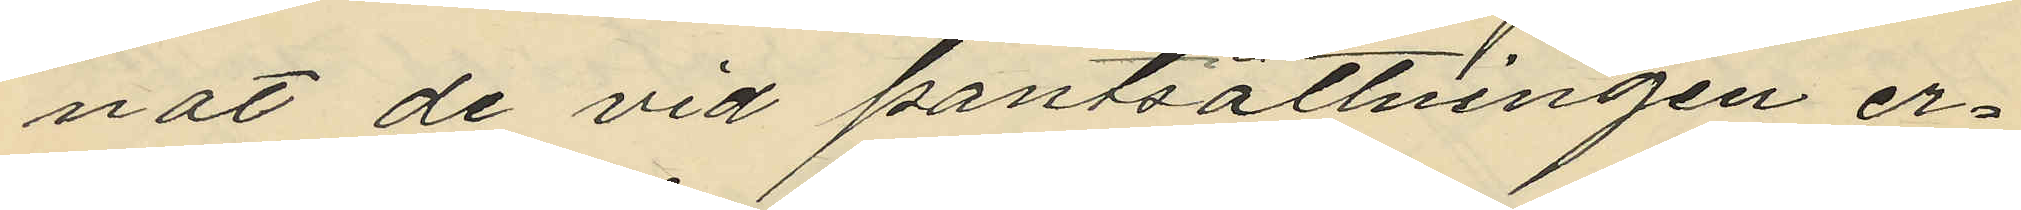nat de vid pantsättningen er¬
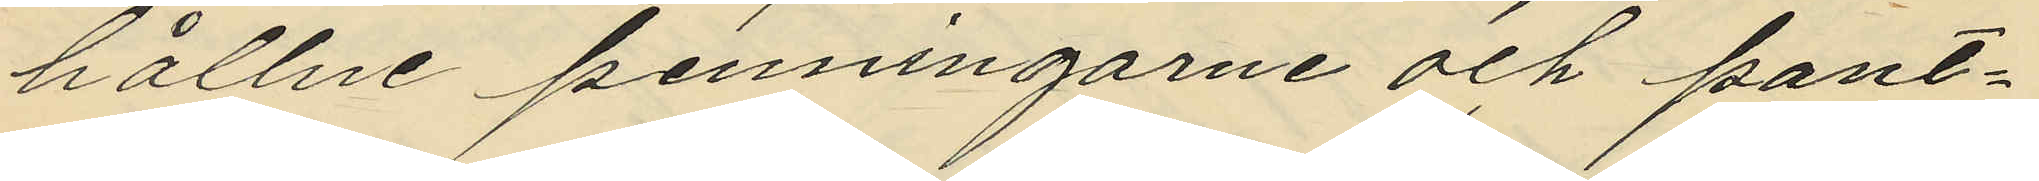hållne penningarne och pant¬
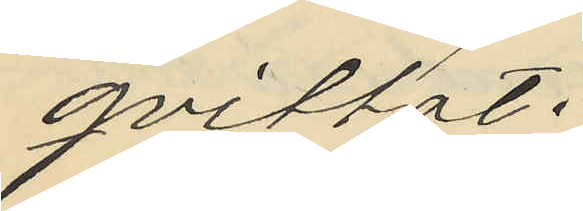qvittot.
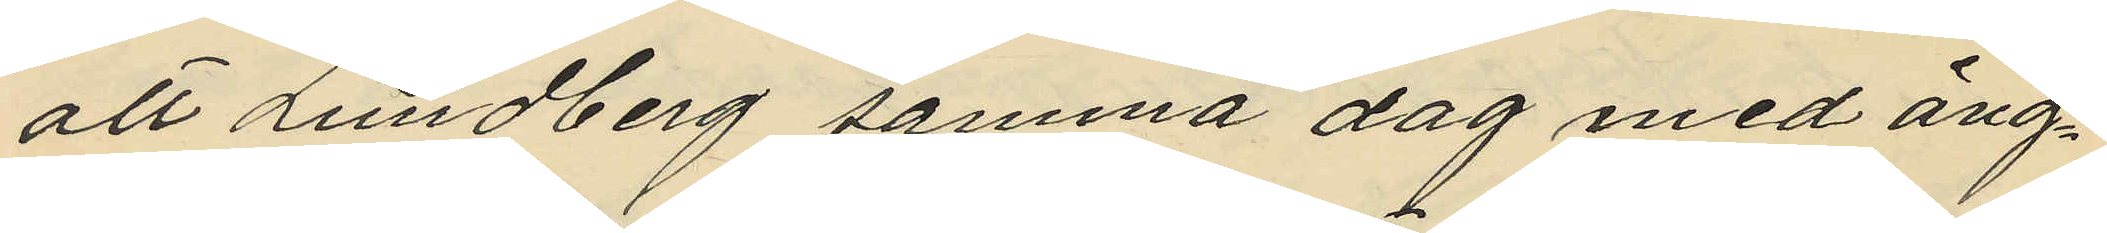att Lundberg samma dag med ång¬
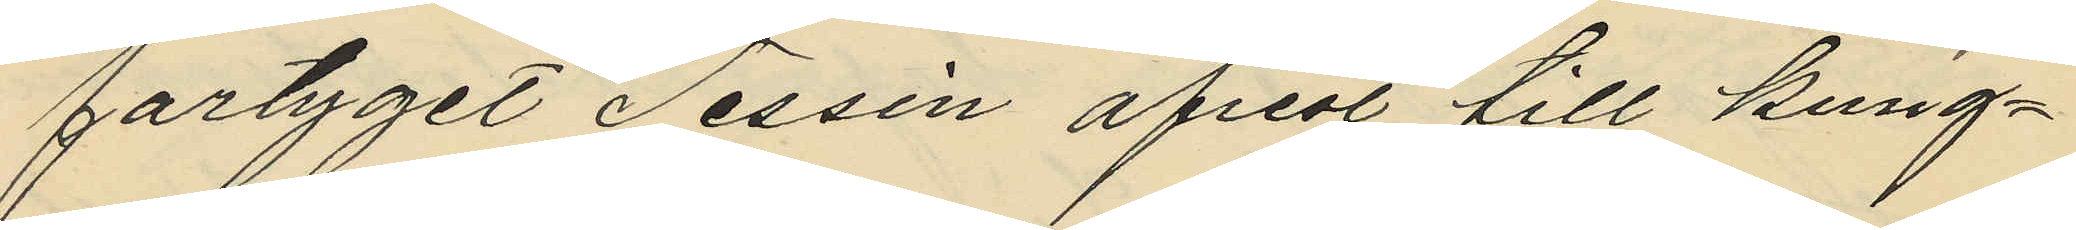fartyget Tessin afrest till kung¬
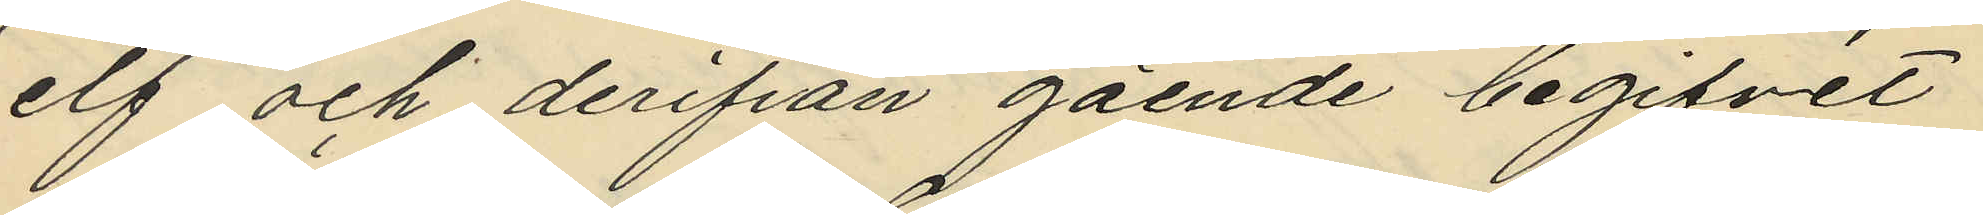elf och derifrån gående begifvit
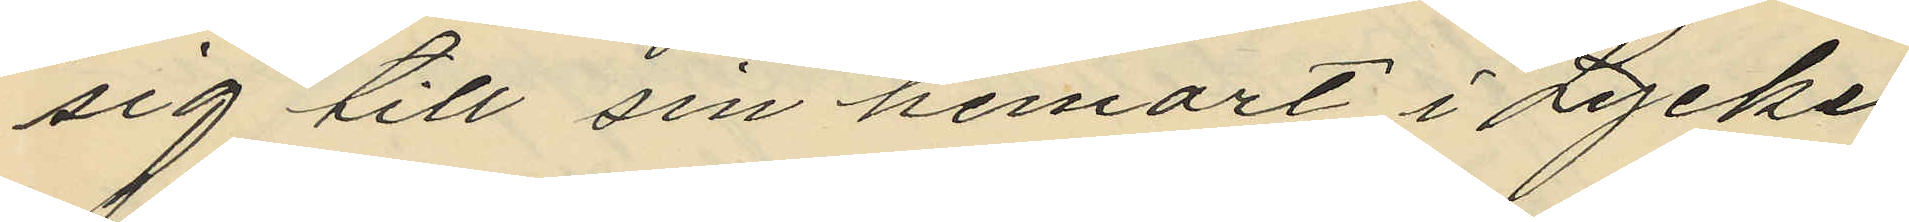sig till sin hemort i Lycke
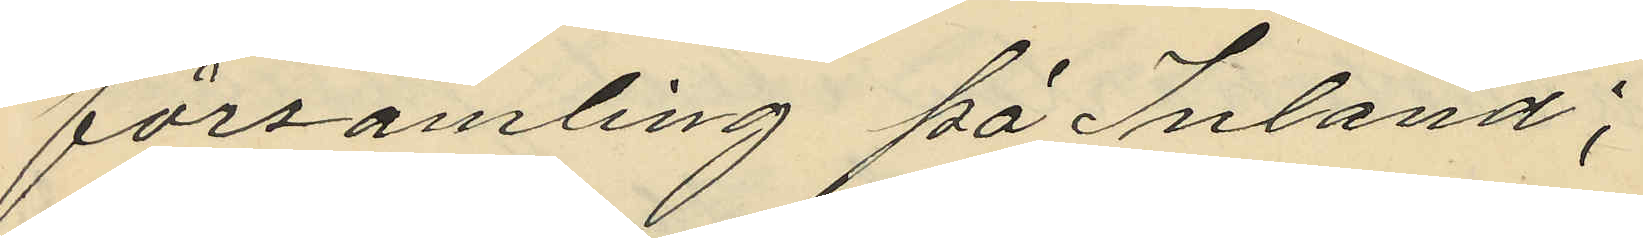församling på Inland;
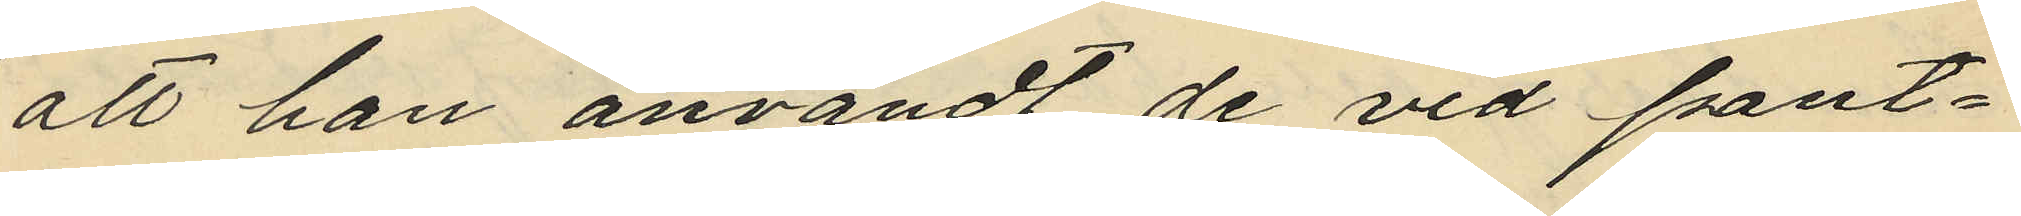att han användt de vid pant¬
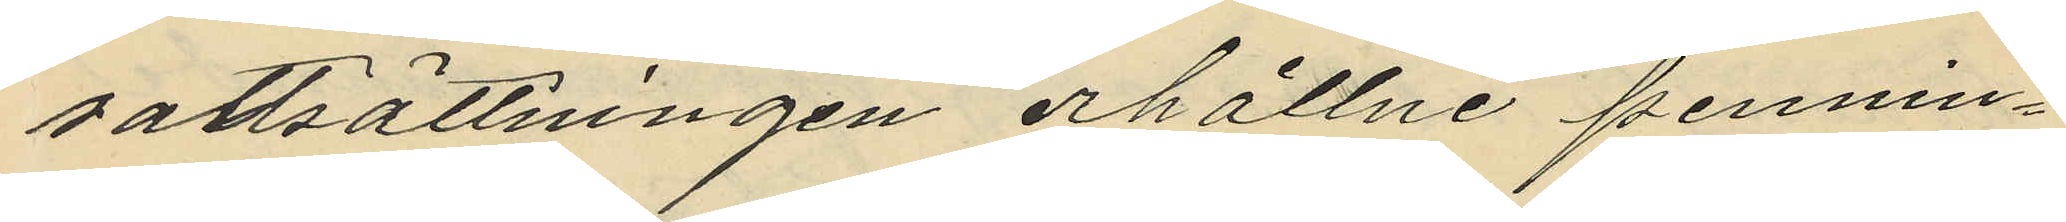sättsättningen erhållne pennin¬
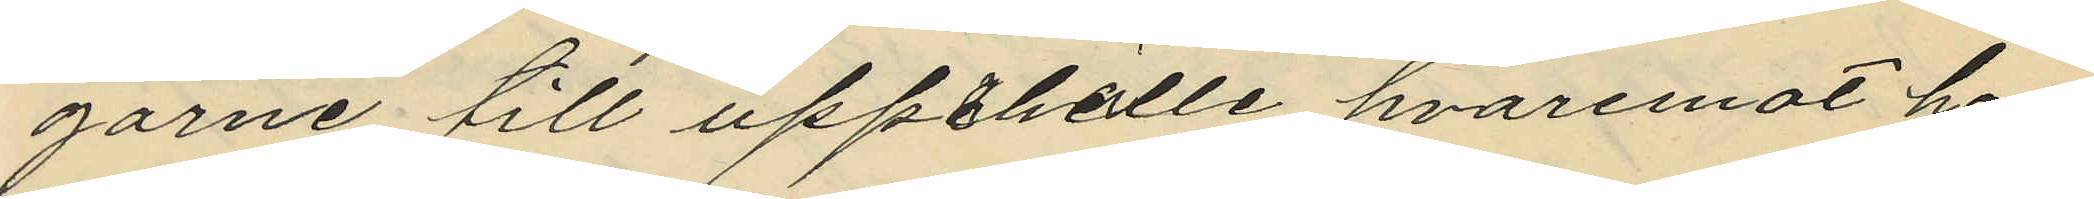garne till uppthälle hvaremot han
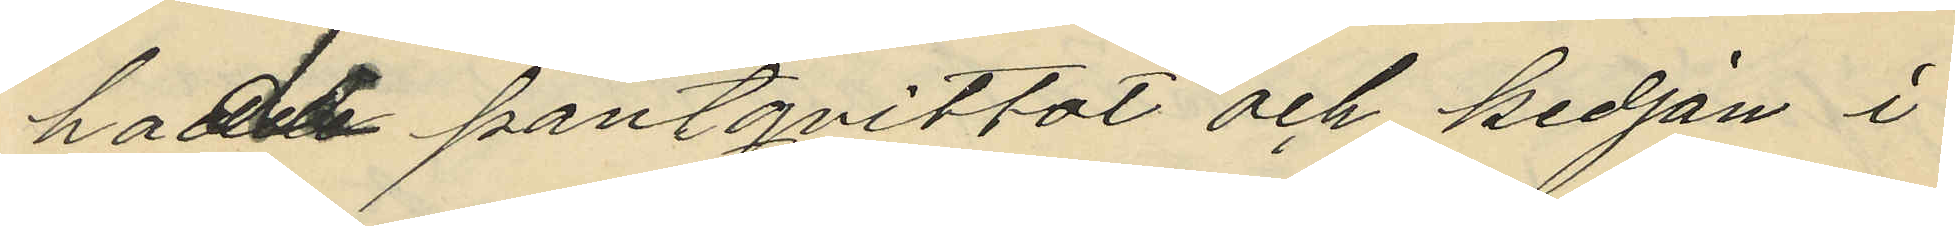hade pantqvittot och kedjan i
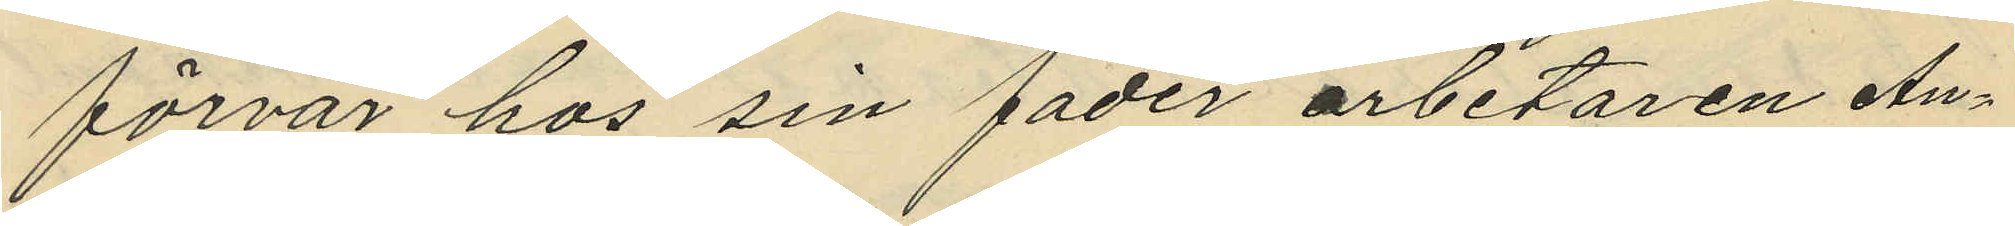förvar hos sin fader arbetaren An¬
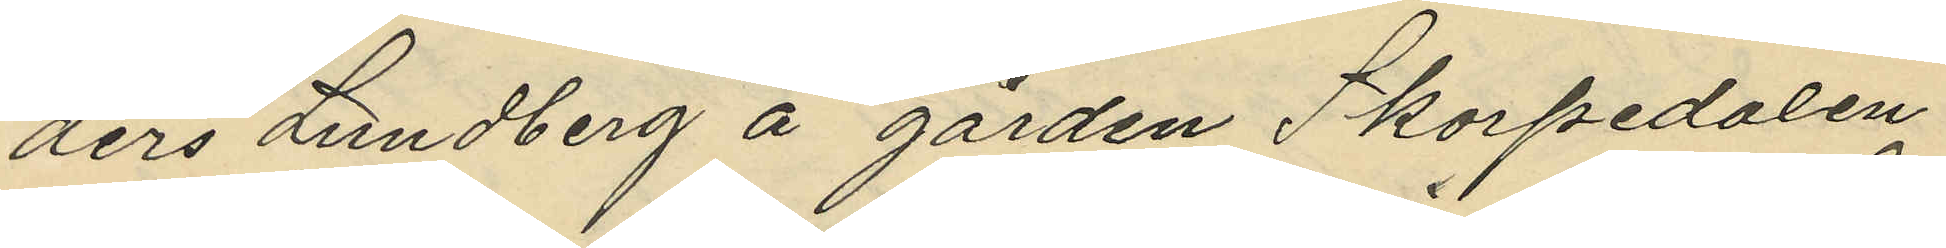ders Lundberg å gården Skorpedalen
